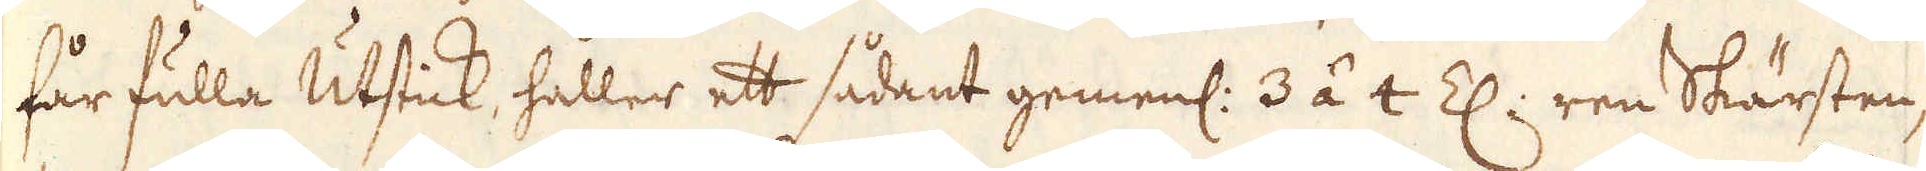får fulla Utstick, håller ett sådant gemenl: 3 á 4 Z: ren Skärsten,
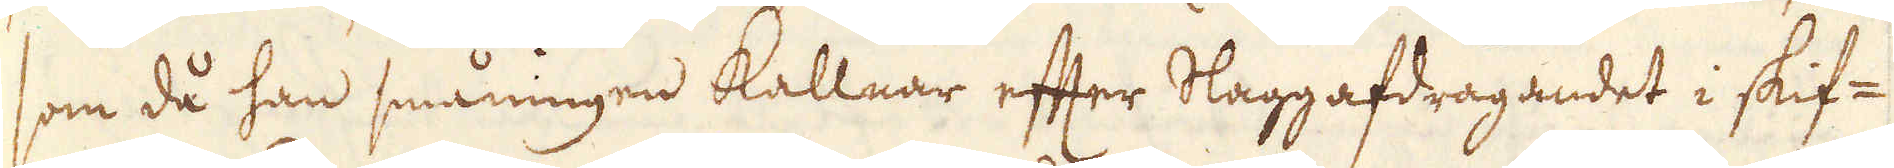som då han småningen kallnar efter Slaggafdragandet i skif-
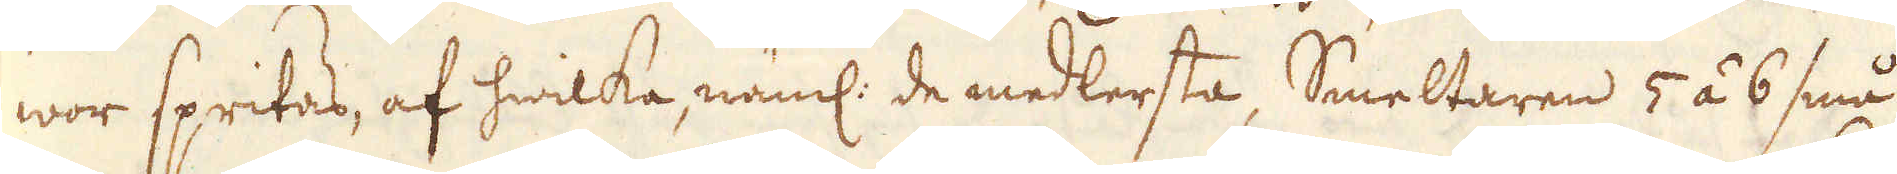wor spritas, af hwilka, näml: de medlersta, Smeltaren 5 á 6 små
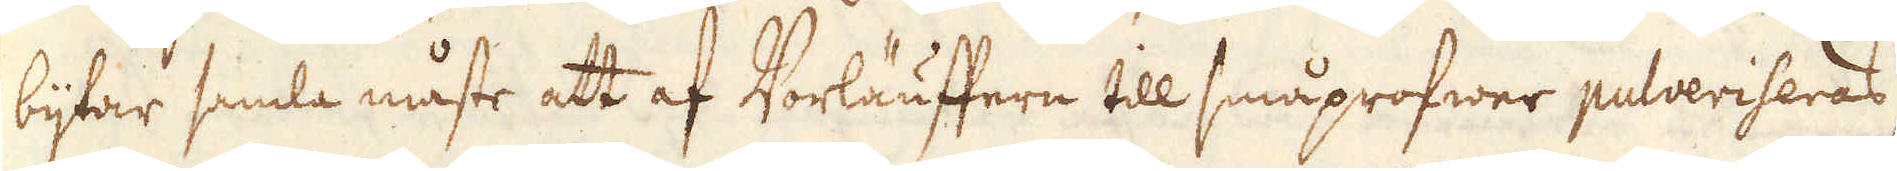bijtar samla måste att af Vorläuffern till småprofwer pulveriseras
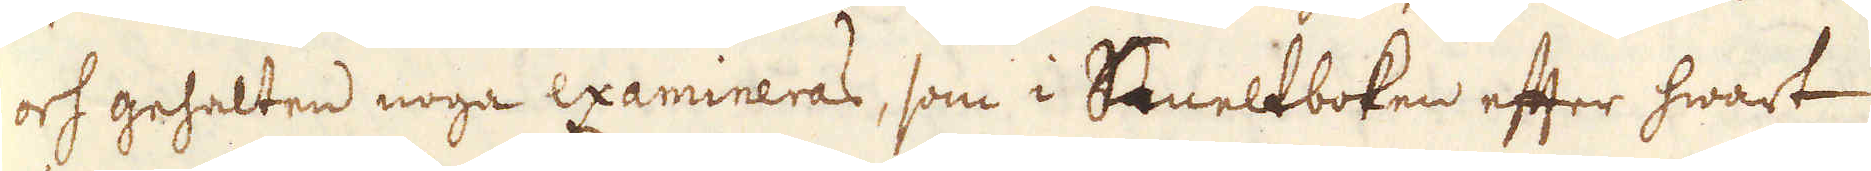och gehalten noga examineras, som i Smeltboken efter hwart
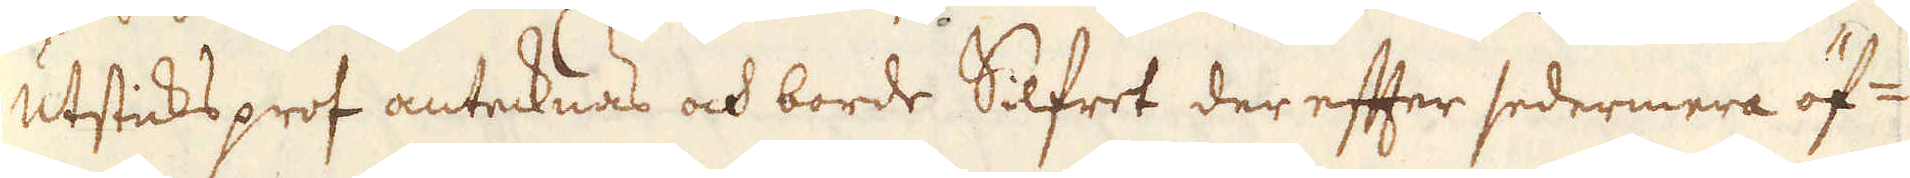Utsticks prof antecknas och borde Silfret der efter sedermera öf-
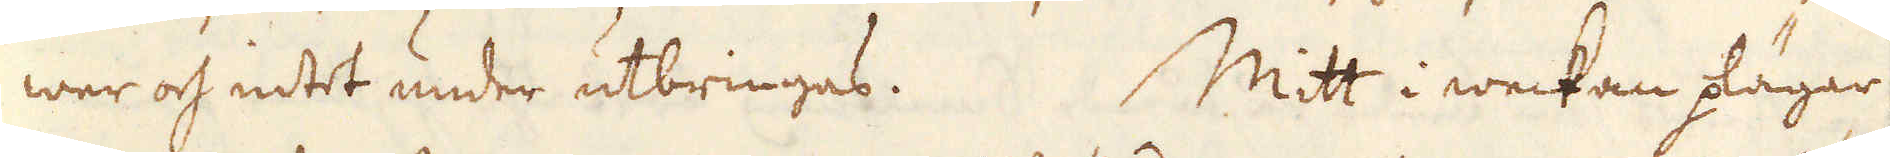wer och intet under utbringas. Mitt i weckan plägar
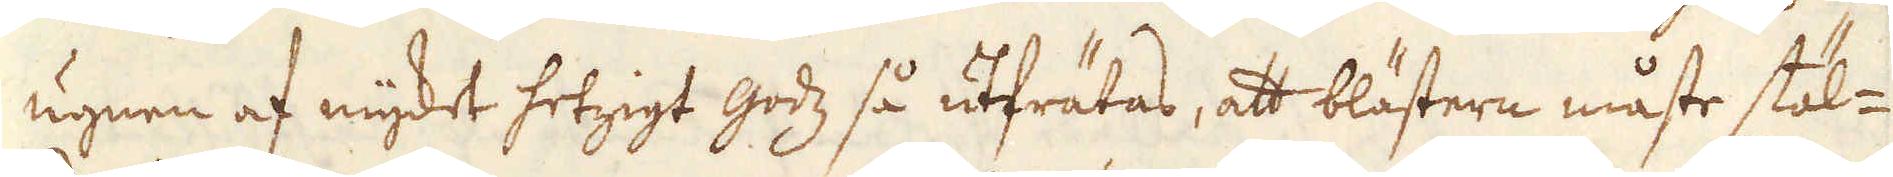ugnen af mycket hetzigt godz så utfrätas, att blästern måste stäl-
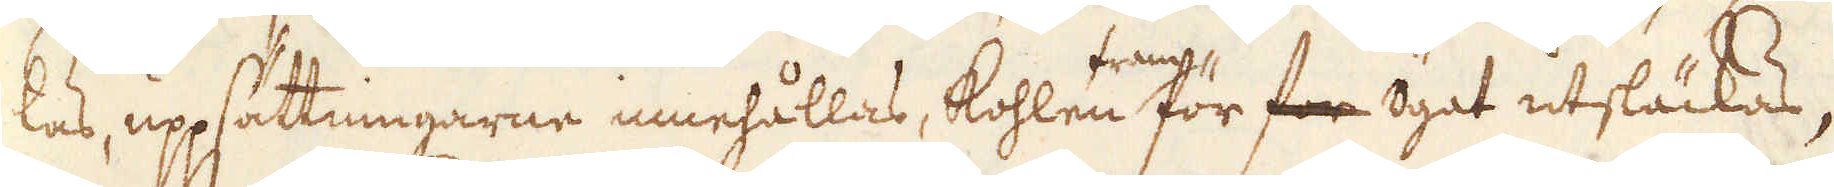las, uppsättningarne innehållas, kohlene framför för ögat utsläckas,
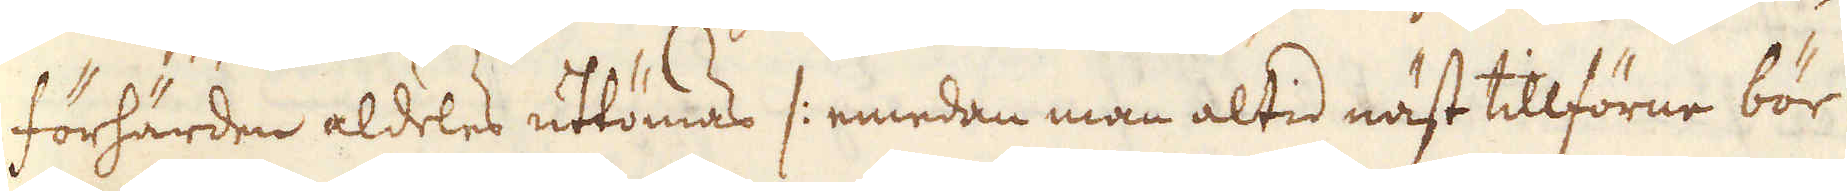förhärden aldeles uttömas /: emedan man altid näst tillförne bör
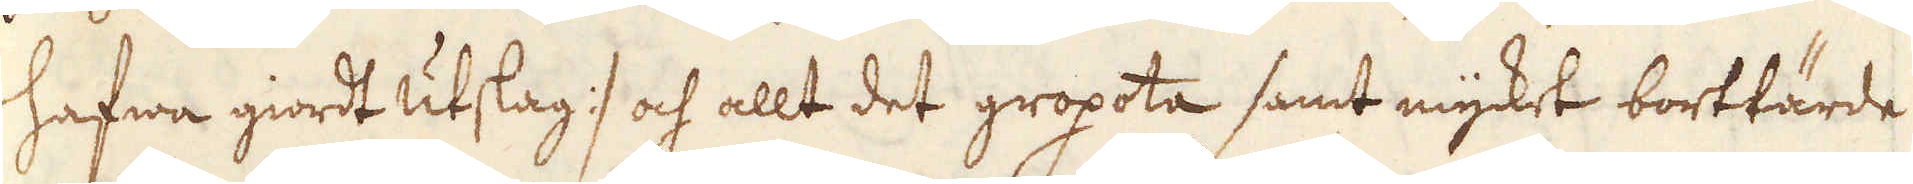hafwa giordt utslag :/ och allt det gropota samt mycket borttärde
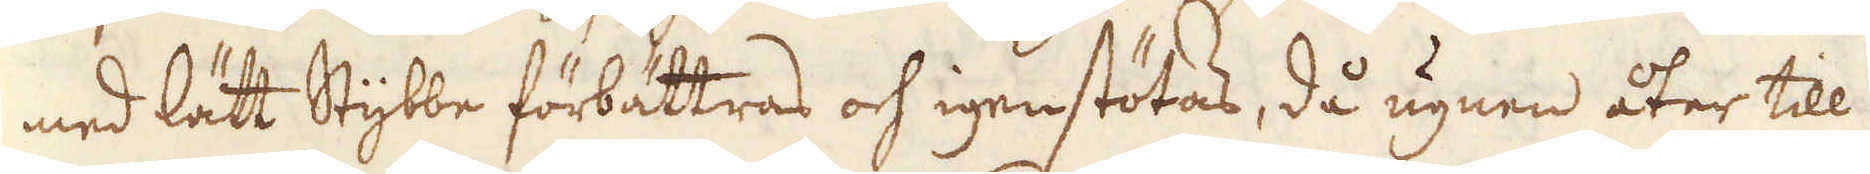med lätt Stybbe förbättras och igenstötas, då ugnen åter till
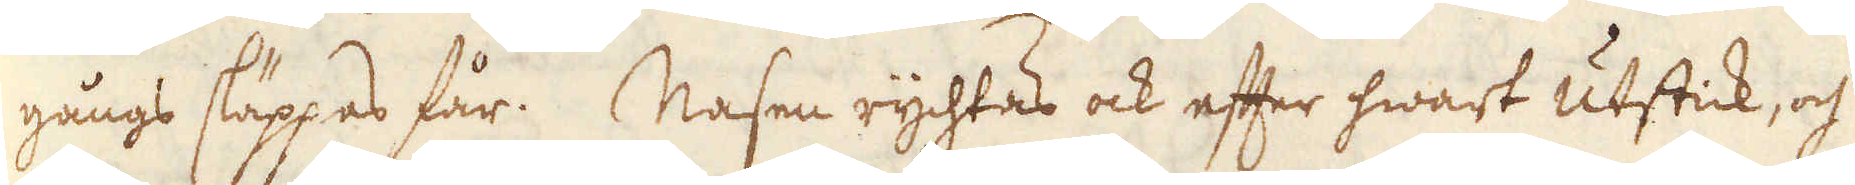gångs släppas får. Masen rychtas ock efter hwart utstick, och
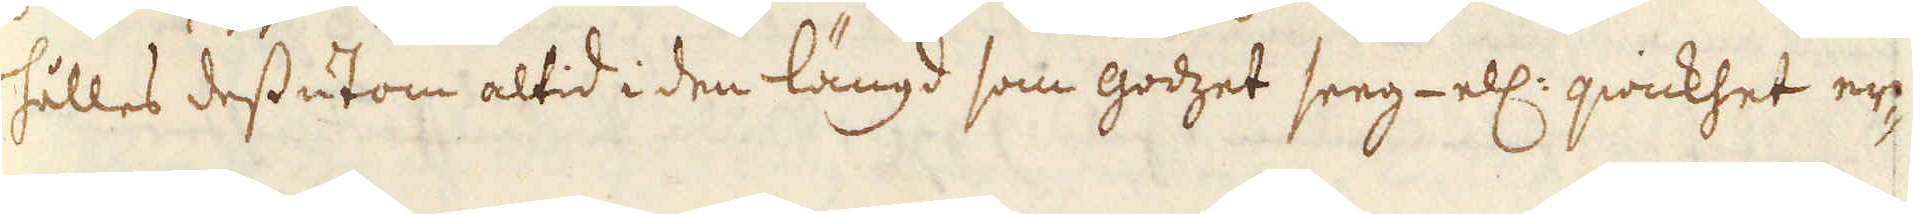fälles dessutom altid i den längd som godgzet seeg ell: qwickhet er-
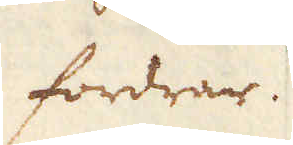fordrar.
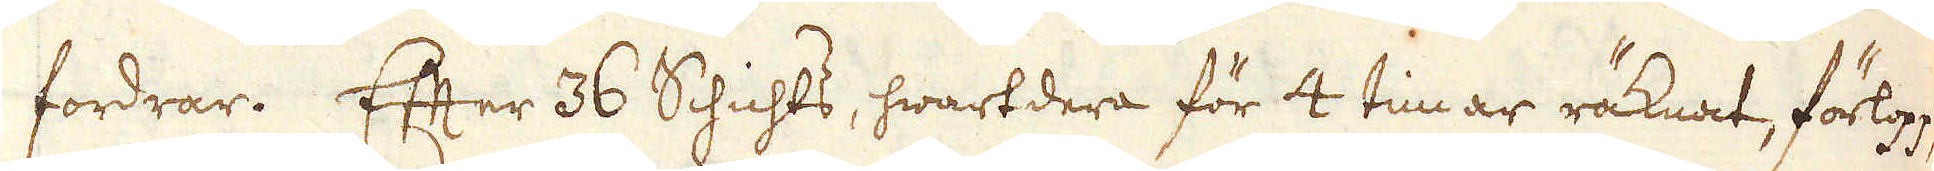fordrar. Efter 36 Schichts, hwartdera för 4 timar räknat, förlopp,
